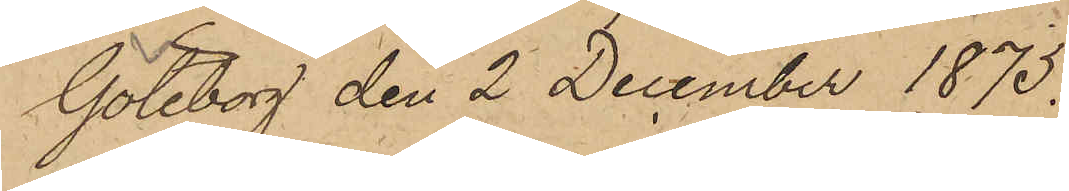Göteborg den 2 December 1875.
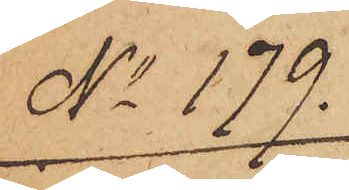No 179.
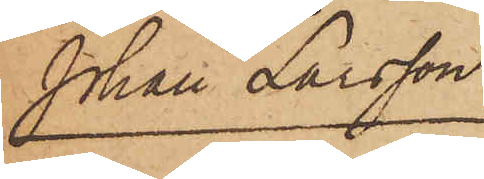Johan Larsson.
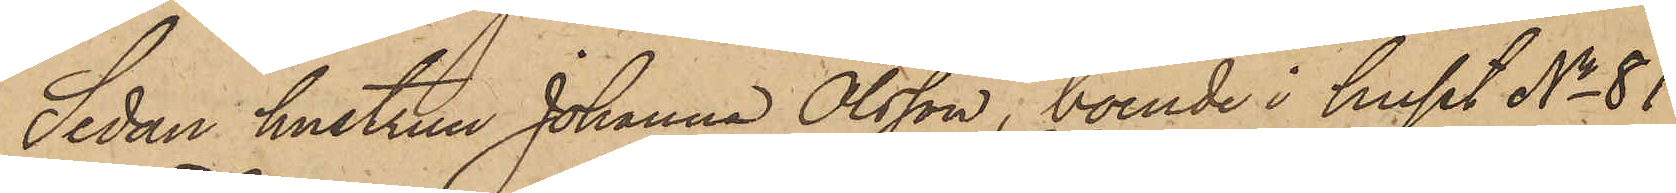Sedan hustrun Johanna Olsson, boende i huset No 81
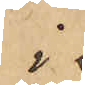i
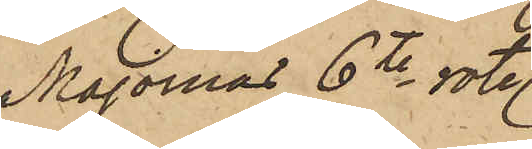Majornas 6te rote.
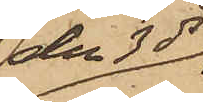den 3 ds
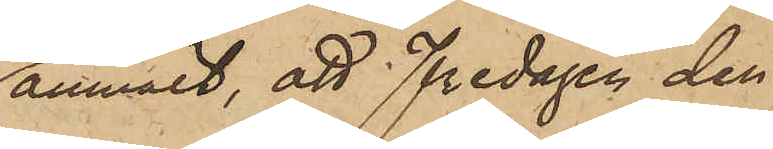anmält, att Fredagen den
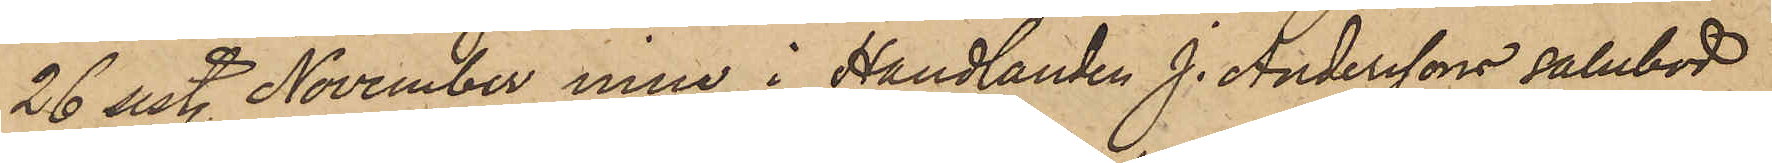26 sist. November inne i Handlanden J. Anderssons salubod
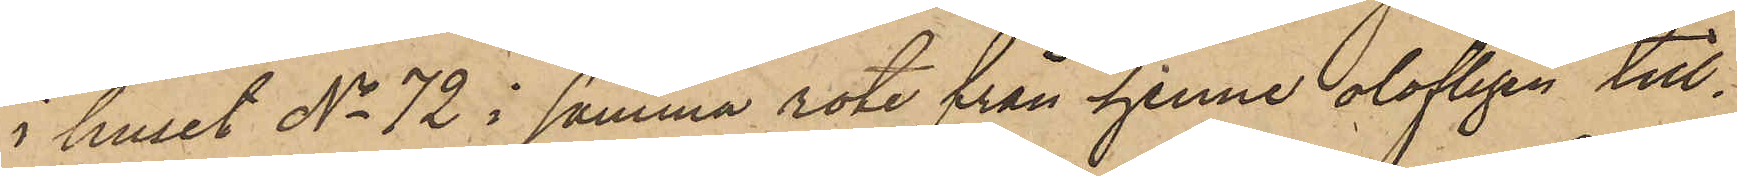i huset No 72 i samma rote från henne olofligen till¬
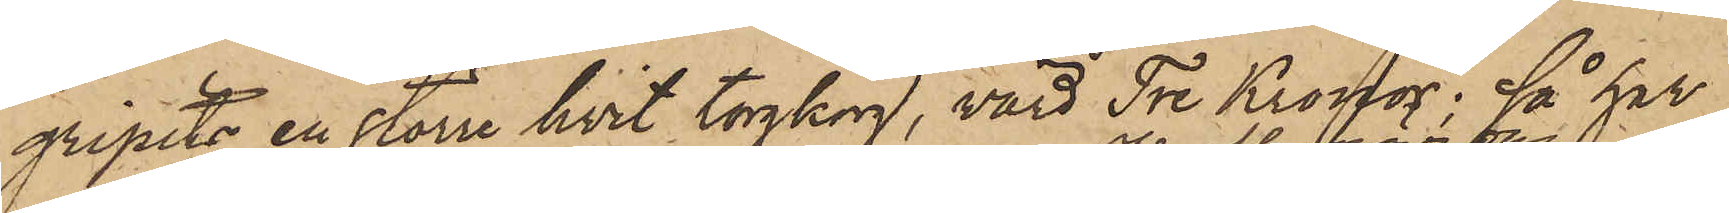gripits en större hvit torgkorg, värd Tre Kronor; så har
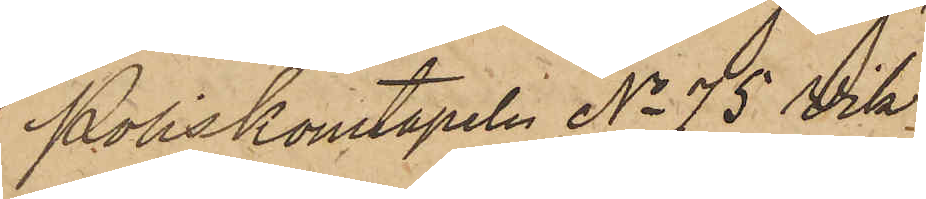Poliskonstapeln No 75 Vik
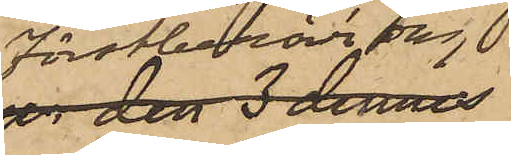förstberörde dag
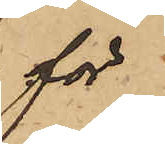för
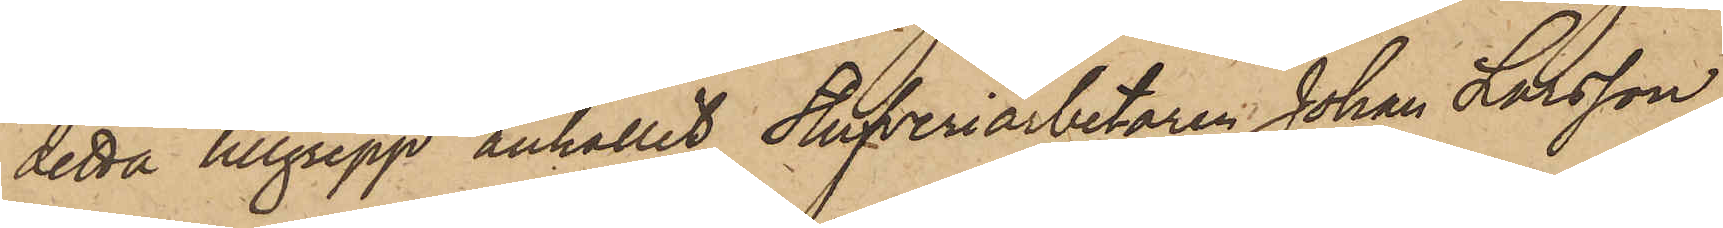detta tillgrepp anhållit Stufveriarbetaren Johan Larsson
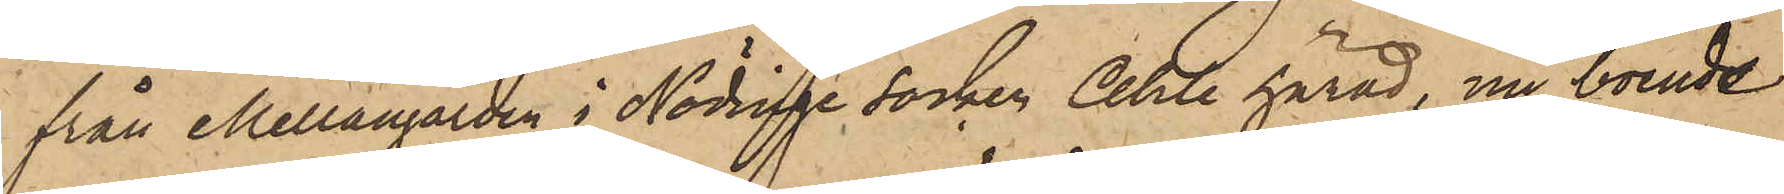från Mellangården i Nödinge Socken Ahle härad, nu boende
